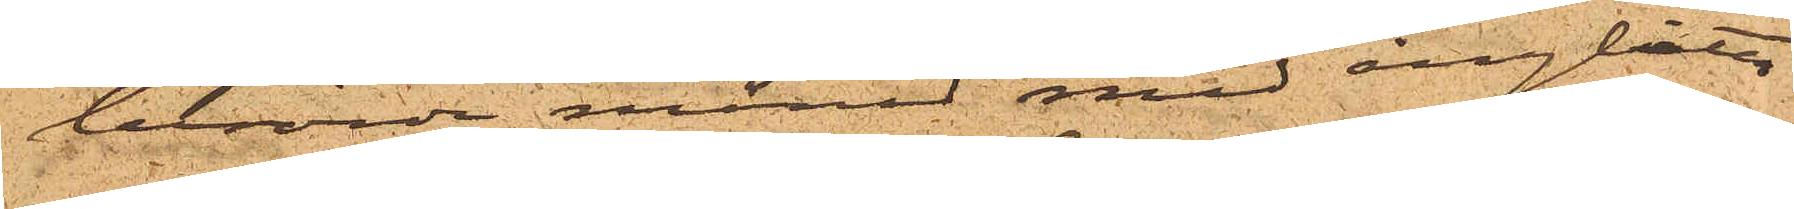berörda månad med ångbåten
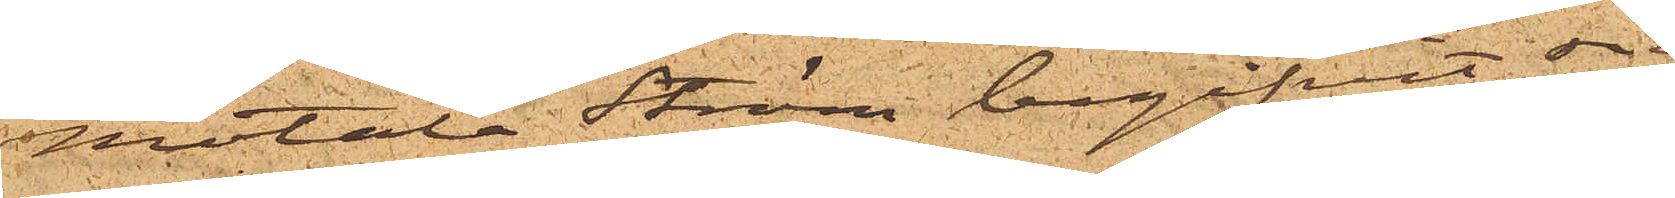Motala Ström begifvit sig
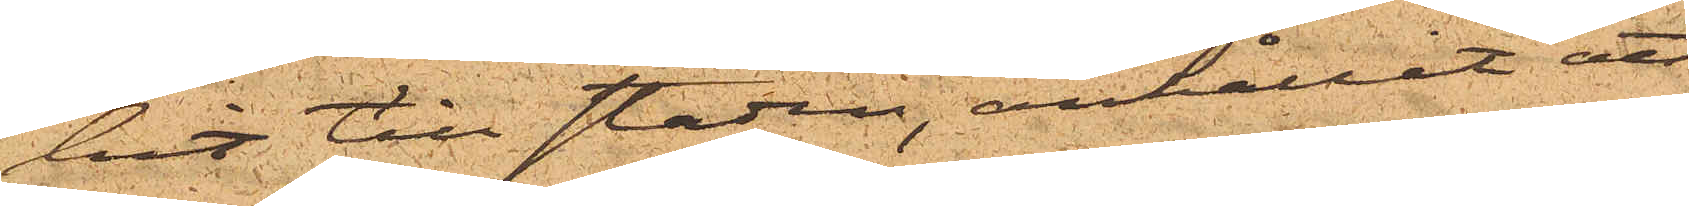hit till staden, anhållit att
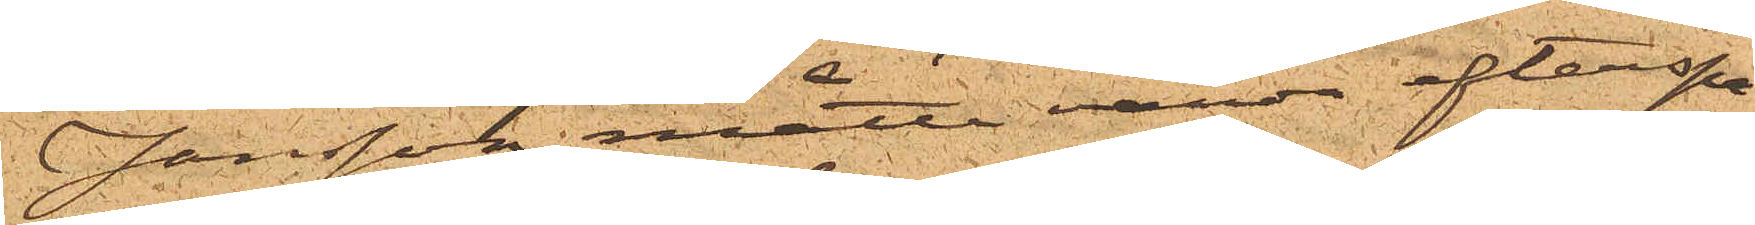Jonsson måtte varda efterspa¬
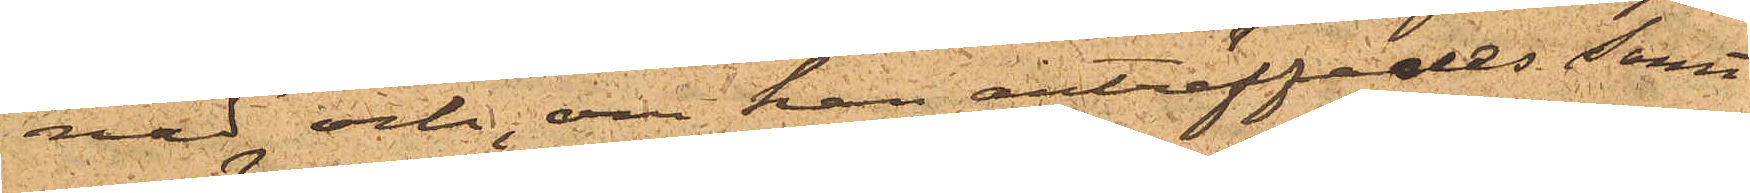nad och, om han anträffades samt
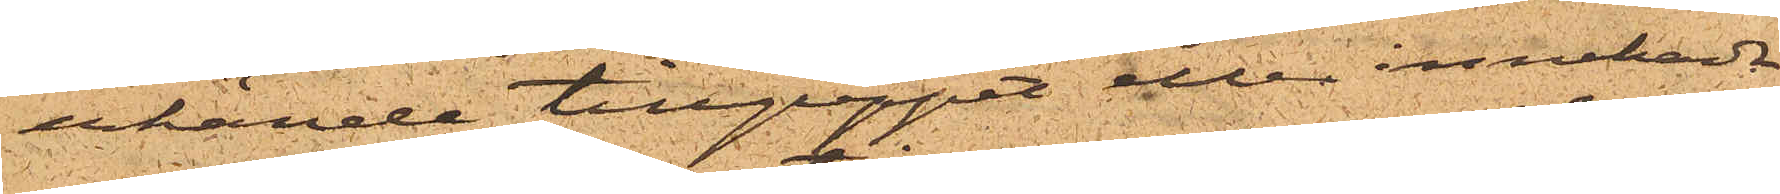erkände tillgreppet eller innehade
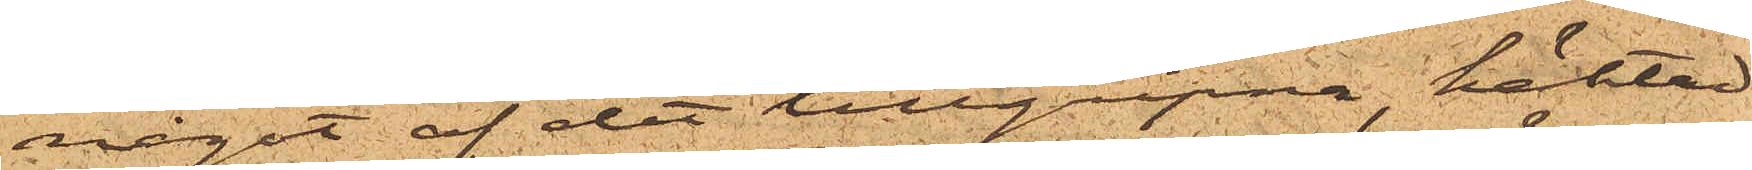något af det tillgripne, häktad
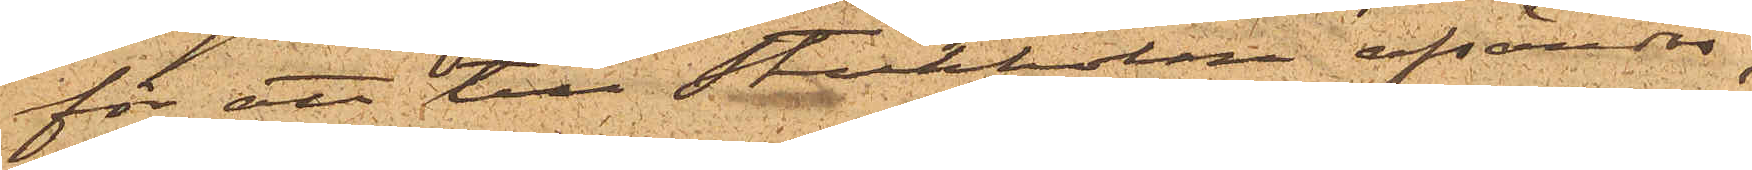för att till Stokholm afsändas,
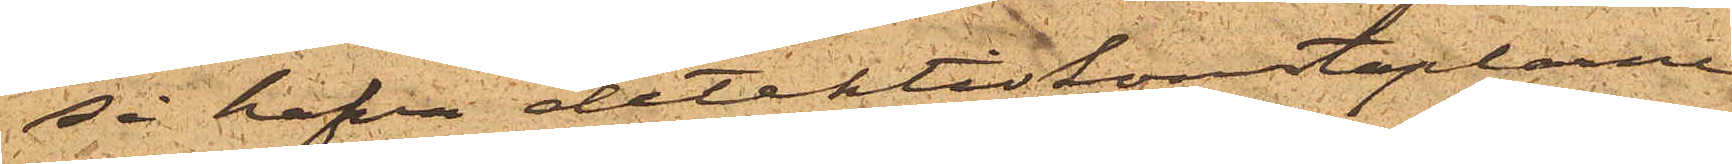så hafva detektivkonstaplarne
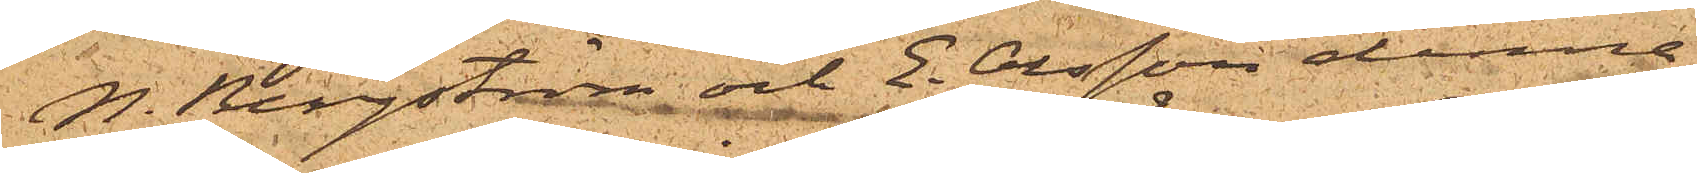P. Bergström och E. Olsson denne
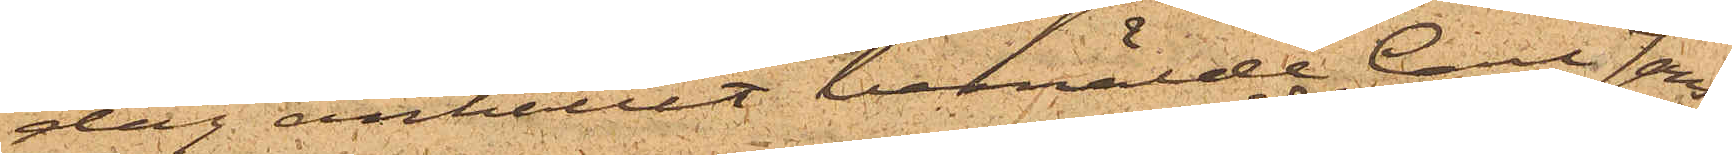dag anhållit bemälde Carl Jons¬
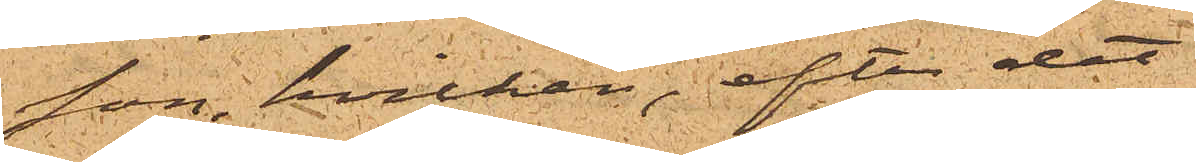son, hvilken, efter det
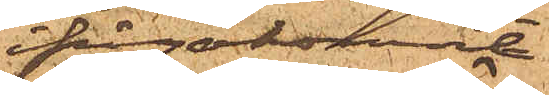ifrågakomne
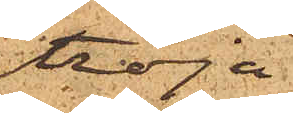tröja
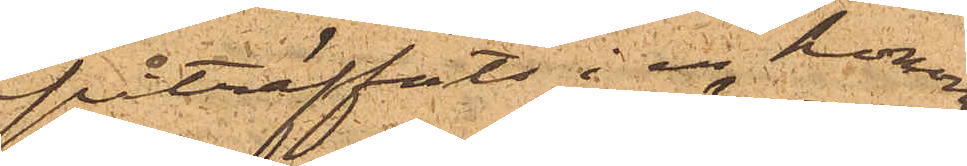påträffats i en honom
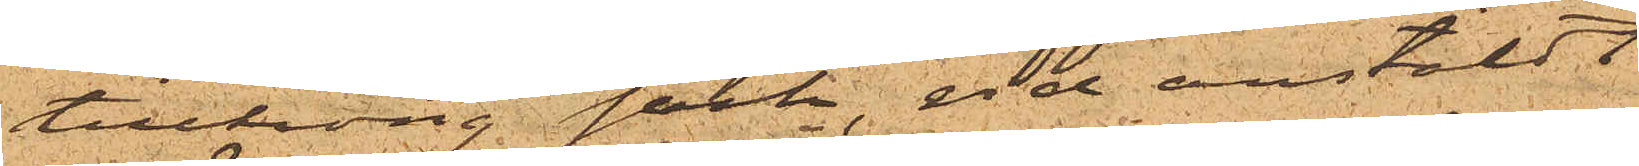tillhörig säck, vid anstäldt
